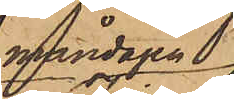måndagen
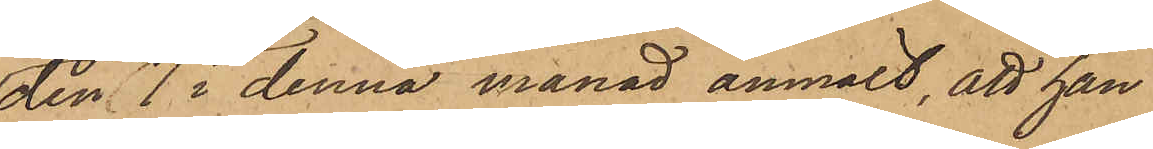den 7 i denna månad anmält, att han
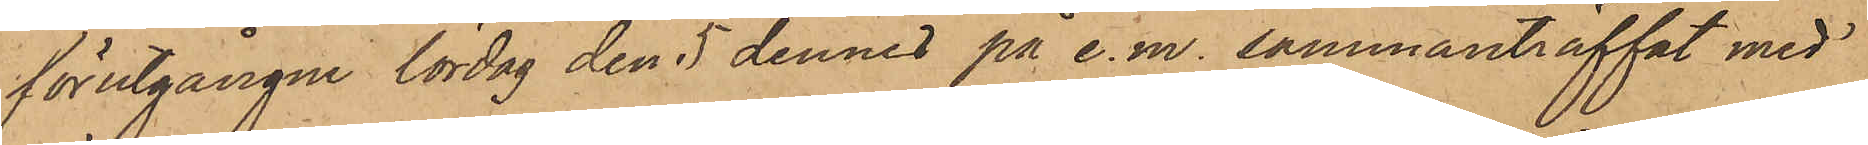förutgångne lördag den 5 dennes på e. m. sammanträffat med
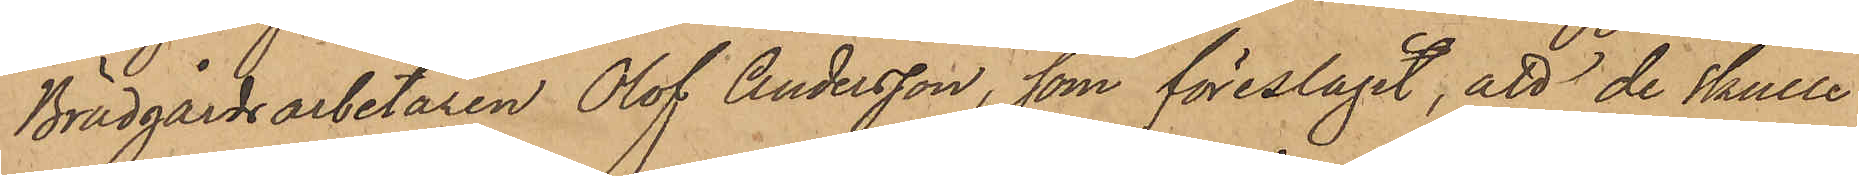Brädgårdsarbetaren Olof Andersson, som föreslagit, att de skulle
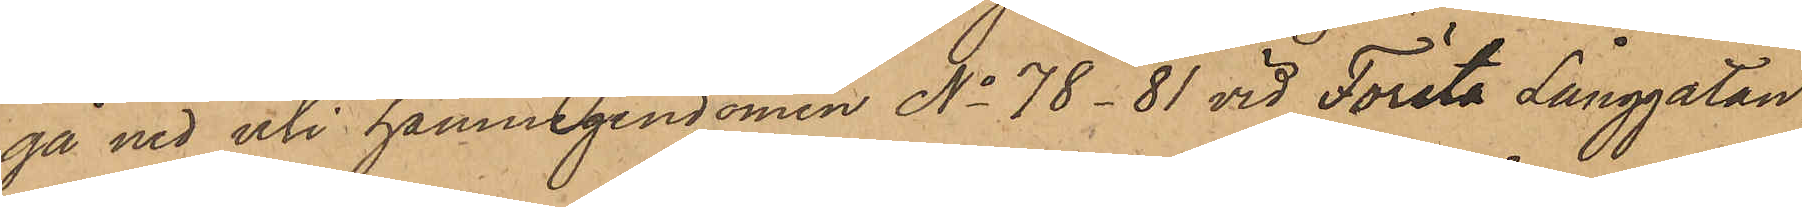gå ned uti hamnegendomen No 78-81 vid Första Långgatan,
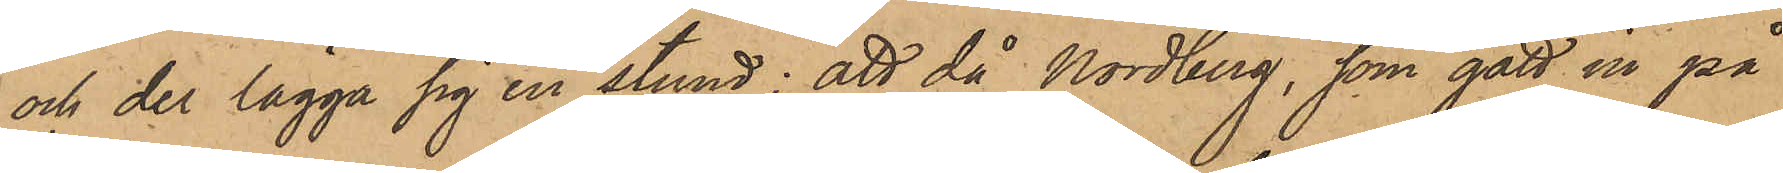och der lägga sig en stund; att då Nordberg, som gått in på
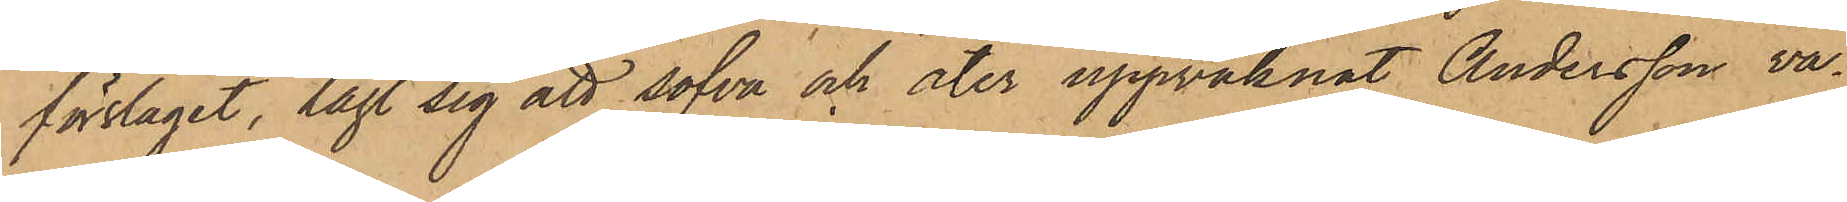förslagit, lagt sig att sofva och åter uppvaknat Andersson va¬
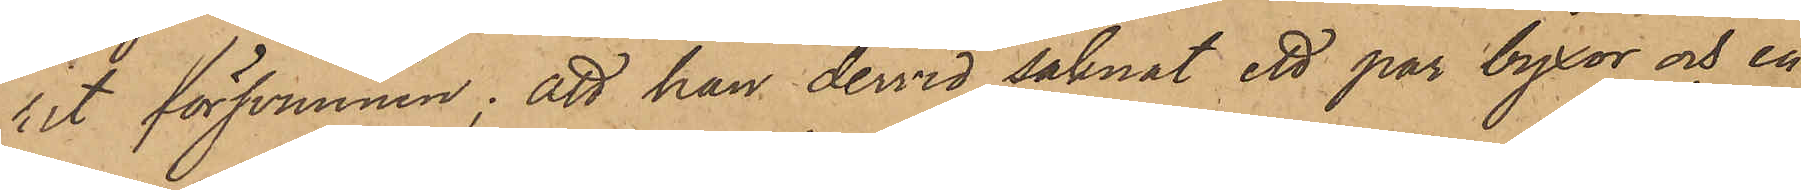rit försvunnen; att han dervid saknat ett par byxor och en
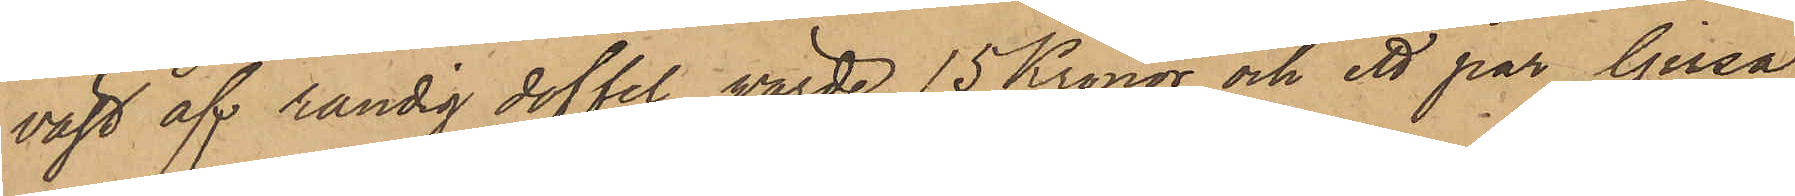väst af randig doffel, värde 15 Kronor och ett par ljusa
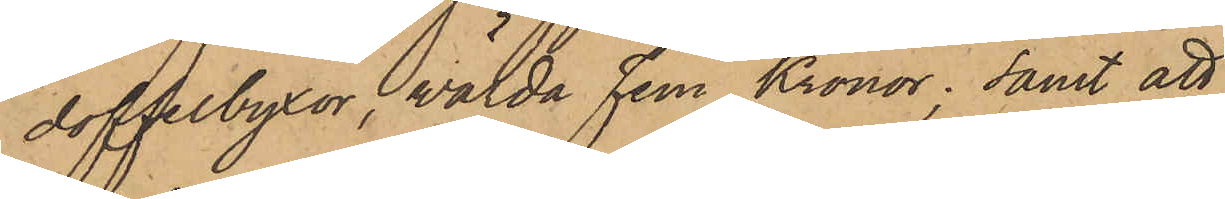doffelbyxor, wärda Fem Kronor; samt att
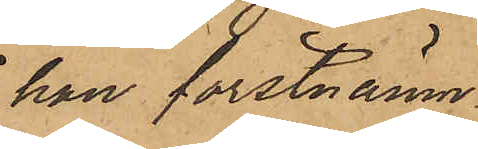han förstnämn¬
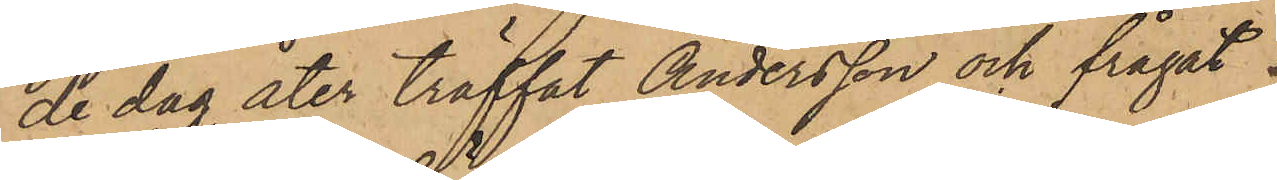de dag åter träffat Andersson och frågat
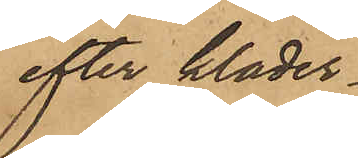efter kläder¬
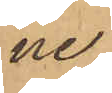ne,
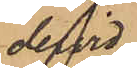dervid
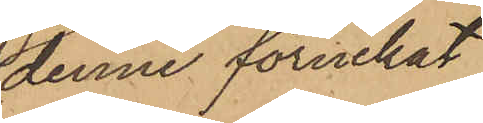denne förnekat
